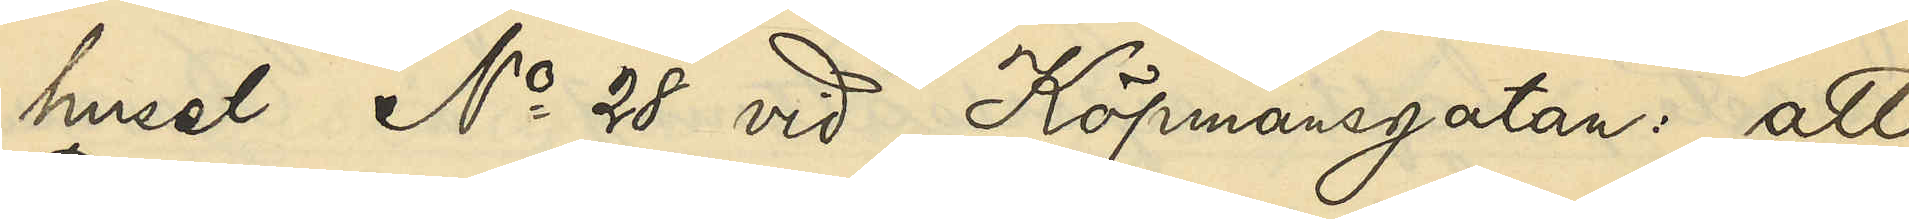huset No 28 vid Köpmansgatan: att
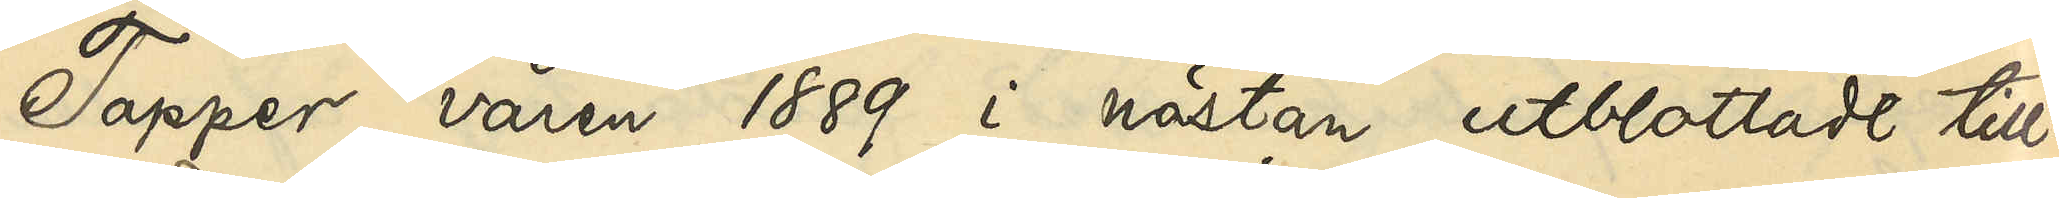Tapper våren 1889 i nästan utblottadt till¬
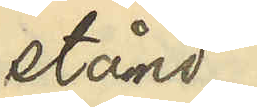stånd
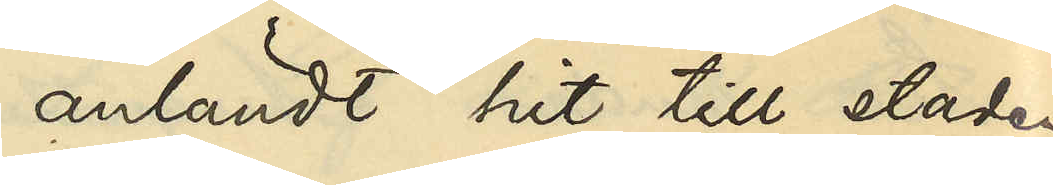anländt hit till staden
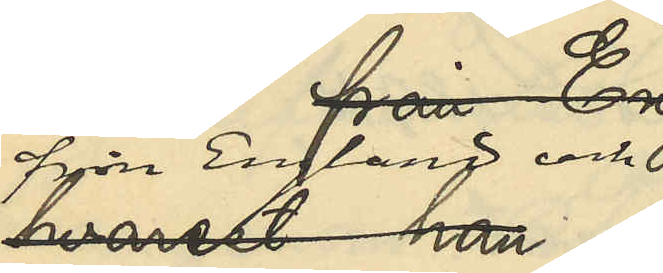från England och
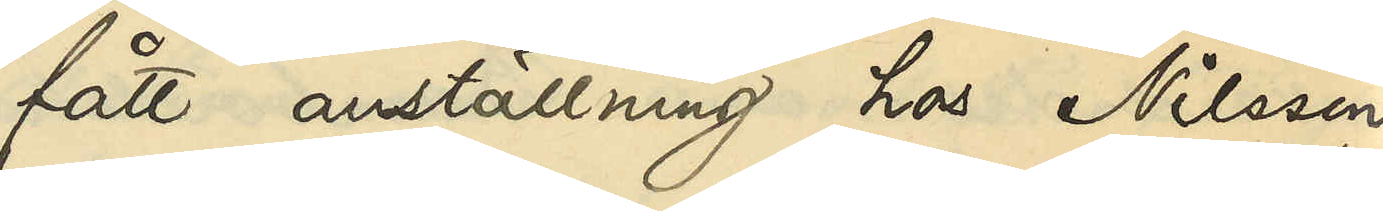fått anställning hos Nilsson
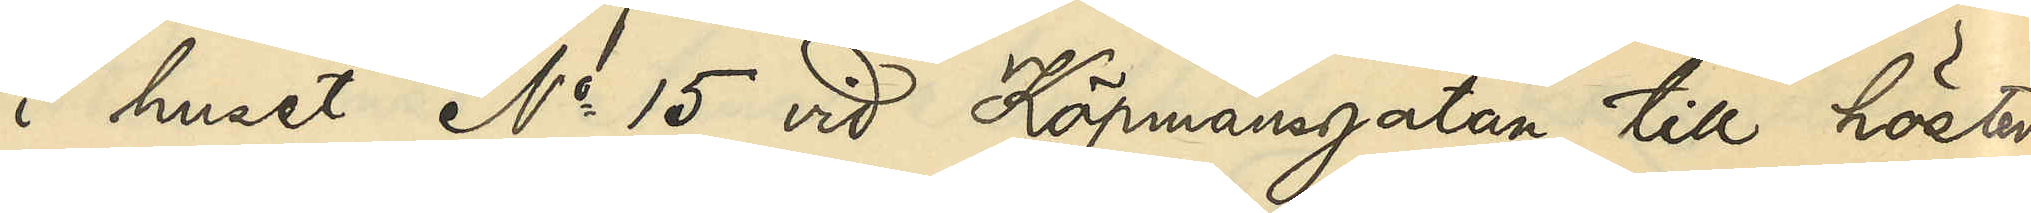i huset No 15 vid Köpmansgatan till hösten
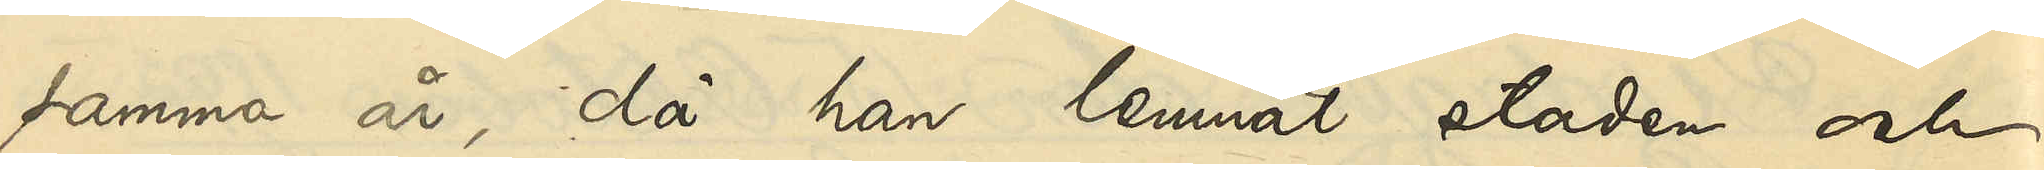samma år, då han lemnat staden och
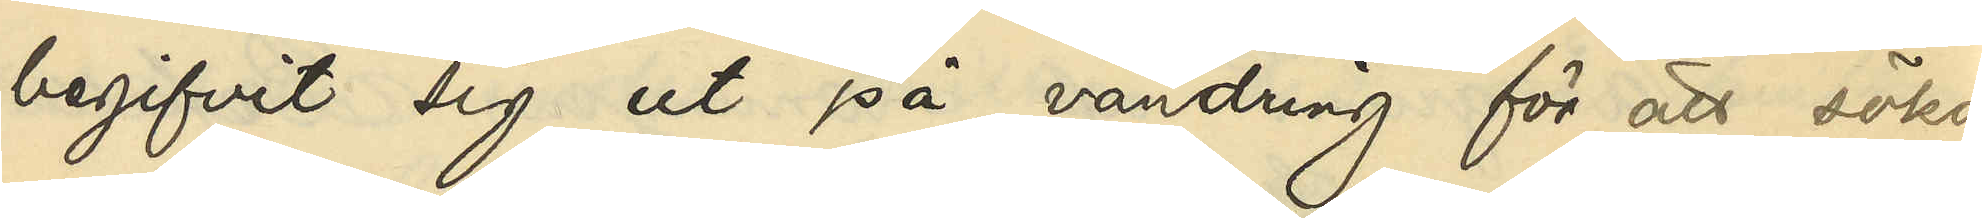begifvit sig ut på vandring för att söka
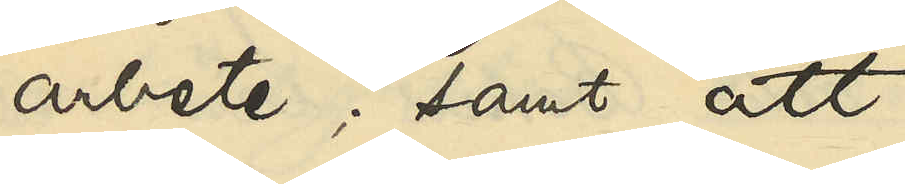arbete; samt att
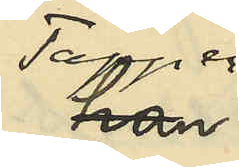Tapper
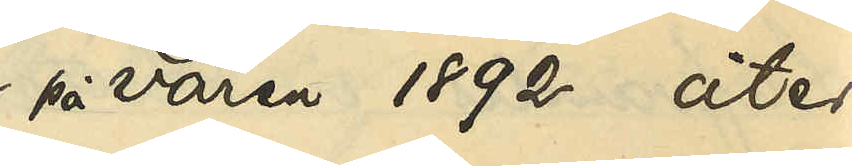på våren 1892 åter
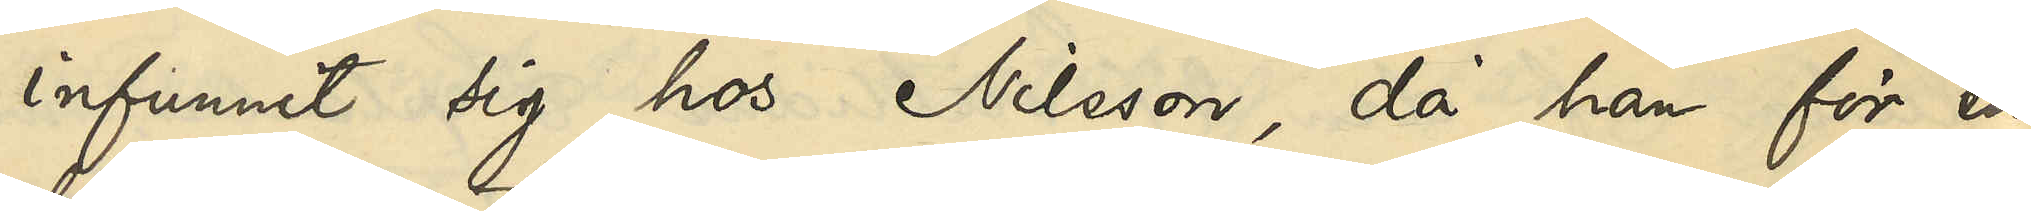infunnit sig hos Nilsson, då han för en
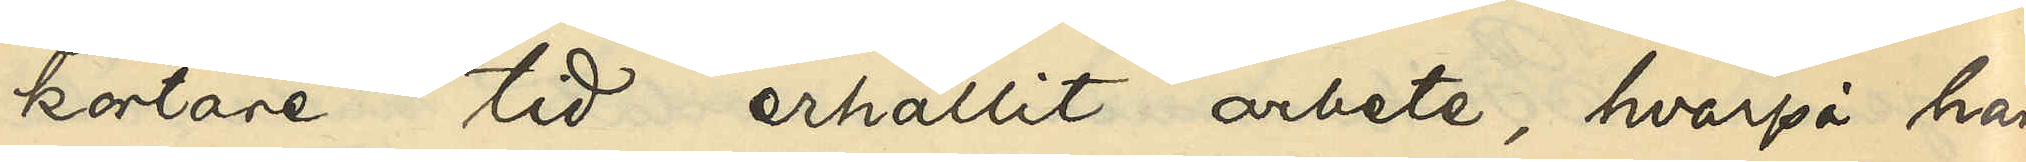kortare tid erhållit arbete, hvarpå han
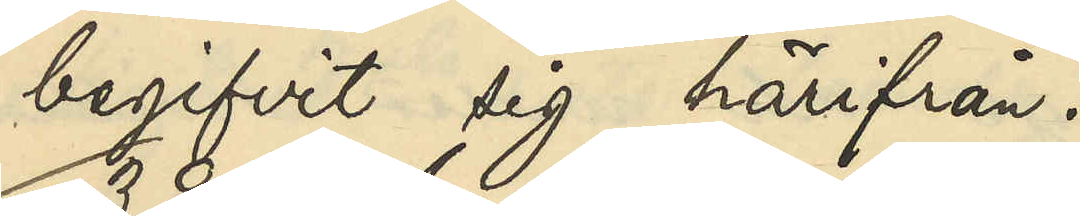begifvit sig härifrån.
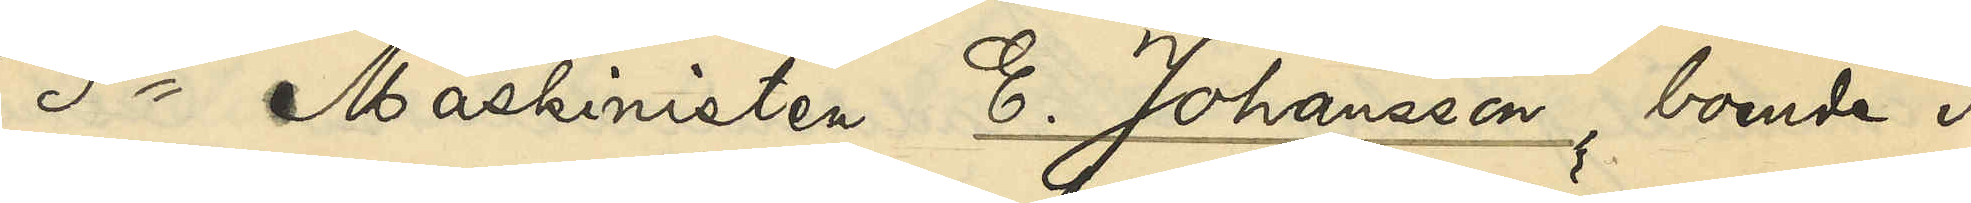3o Maskinisten E. Johansson, boende i
